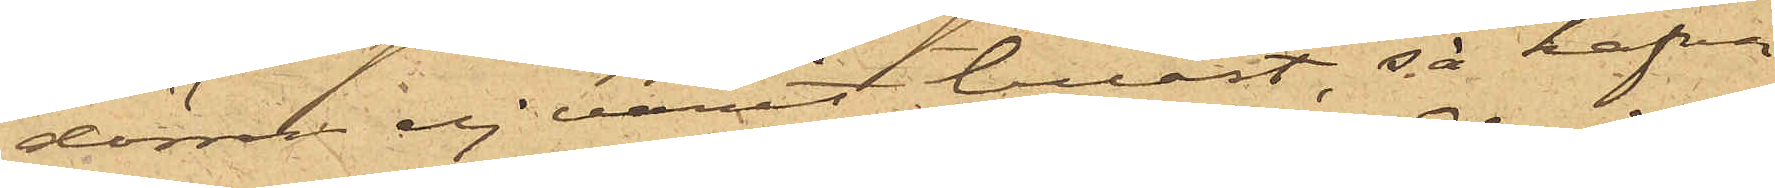dörren ej varit låst, så hafva
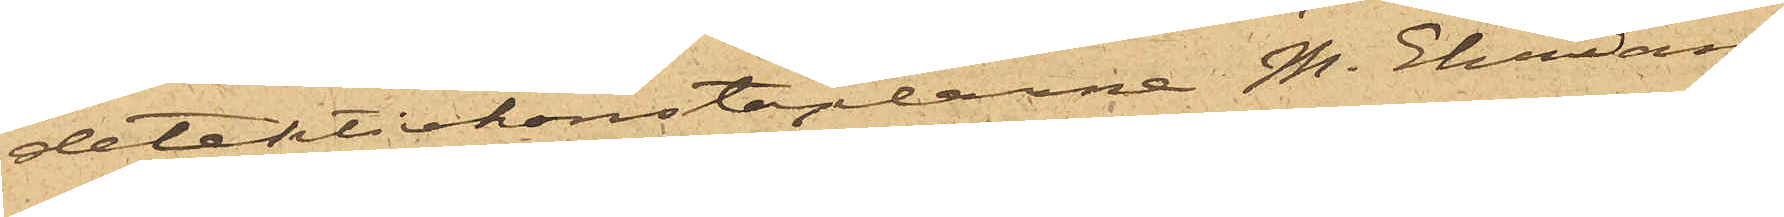detektivkonstaplarne M. Ehrian¬
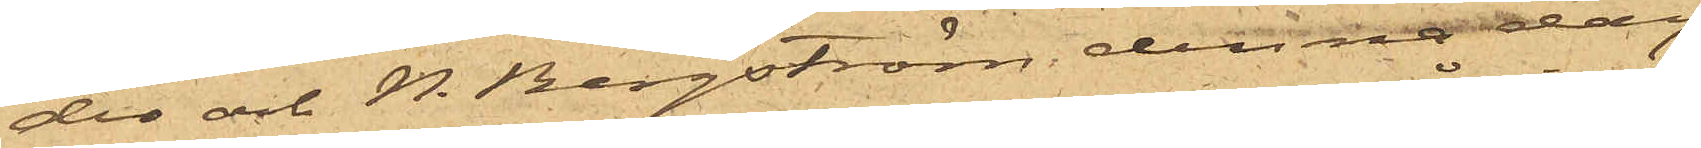der och N. Bergström denna dag
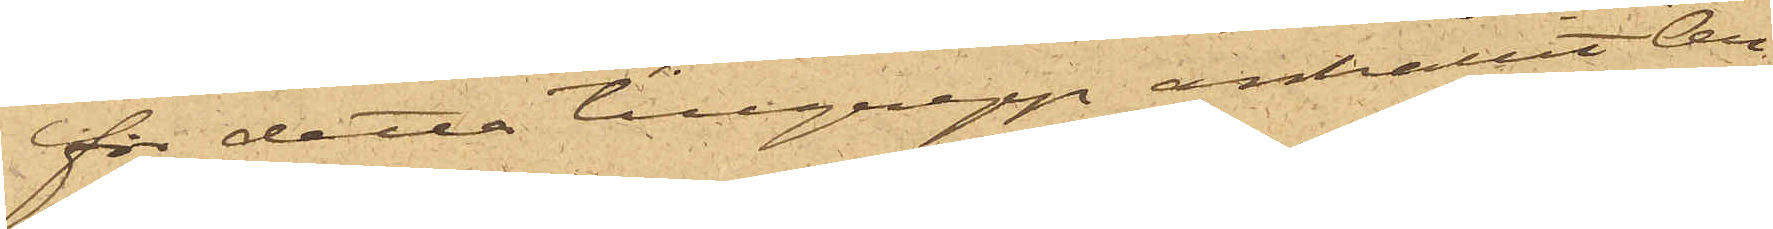för detta tillgrepp anhållit Ar¬
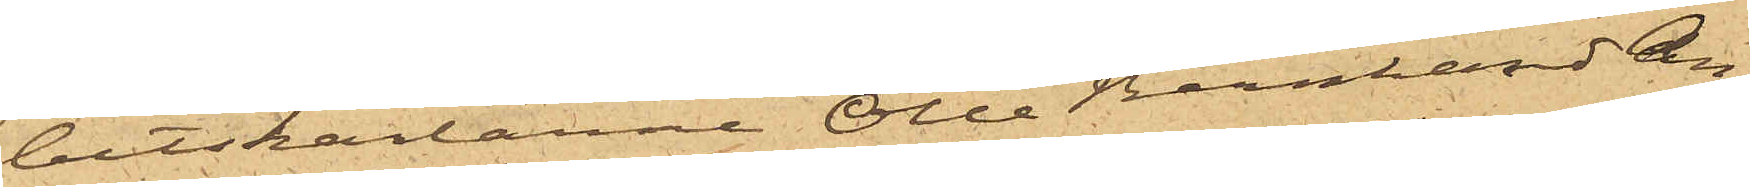betskarlarne Olle Bernhard An¬
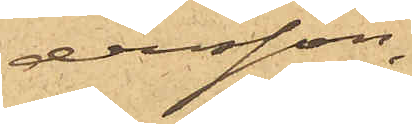dersson
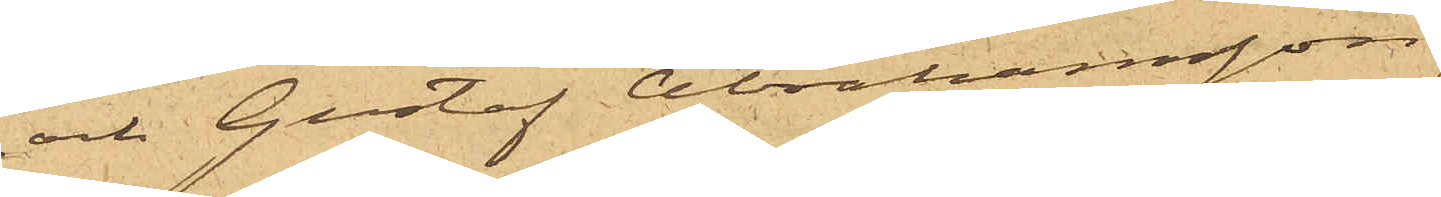och Gustaf Abrahamsson,
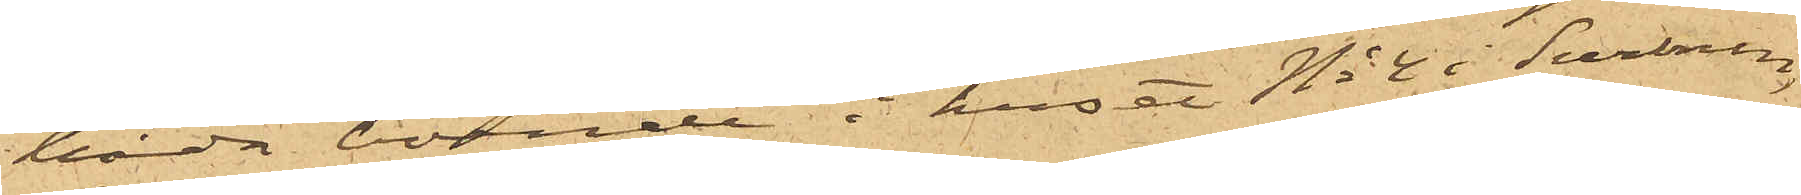båda boende i huset No 4 i Surbrunn,
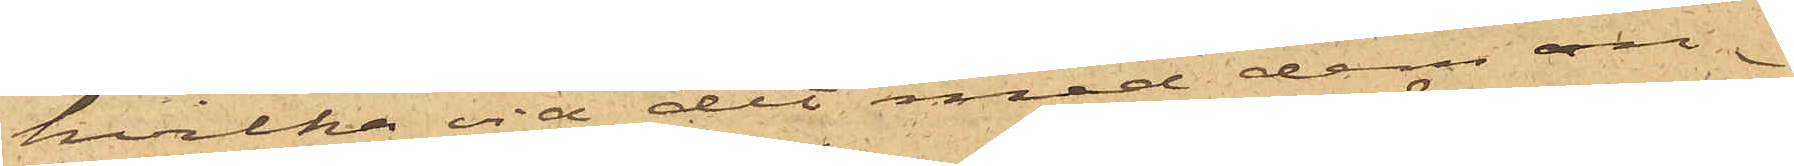hvilka vid det med dem an¬
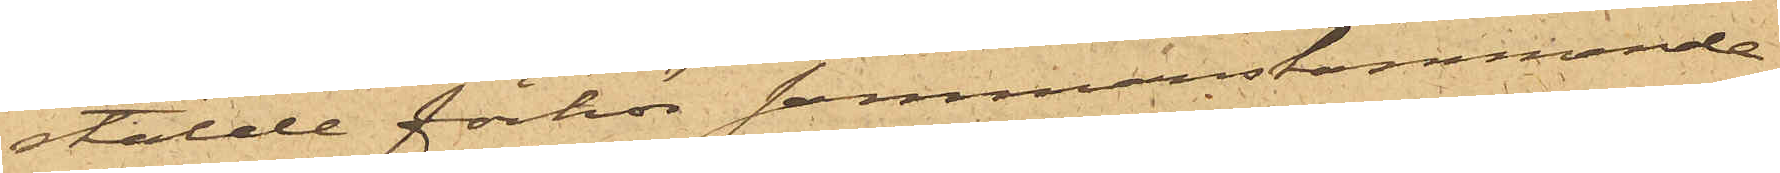stälde förhör sammanstämmande
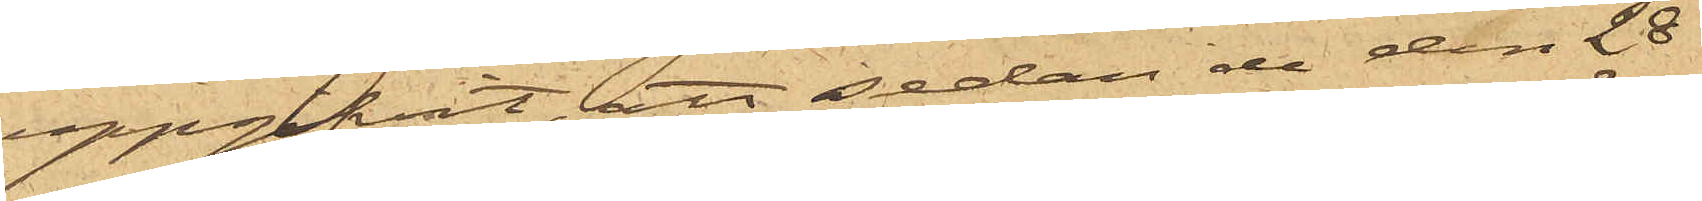uppgifvit, att sedan de den 28
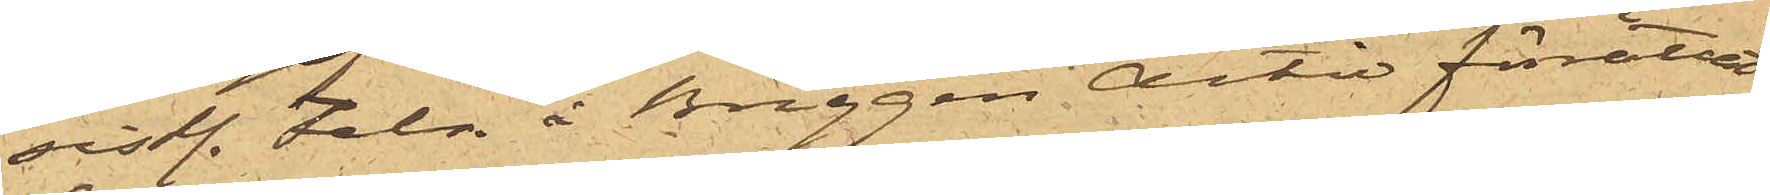sist. Febr. å Briggen Active förrättat
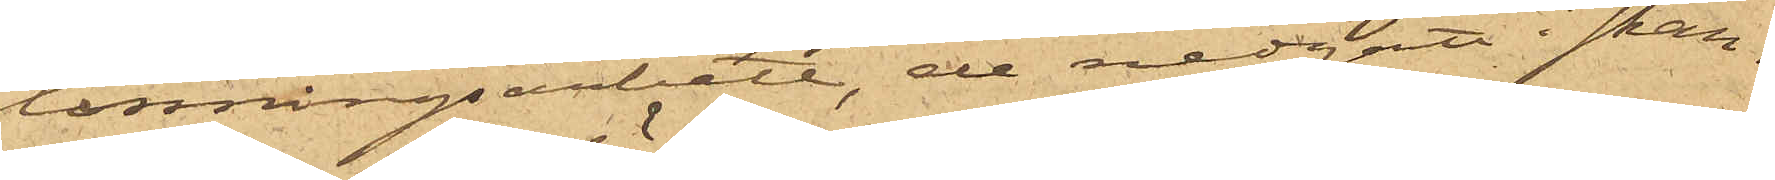lossningsarbete, de nedgått i skan¬
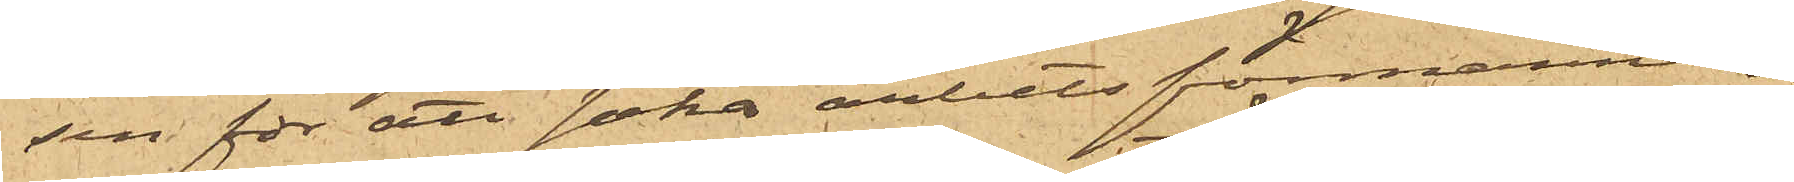sen för att söka arbetsförmannen;
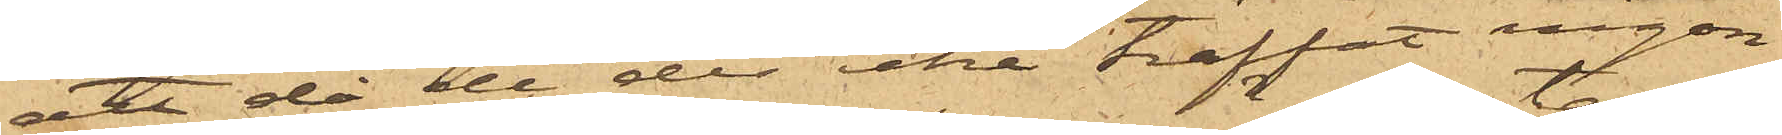att då de der icke träffat någon
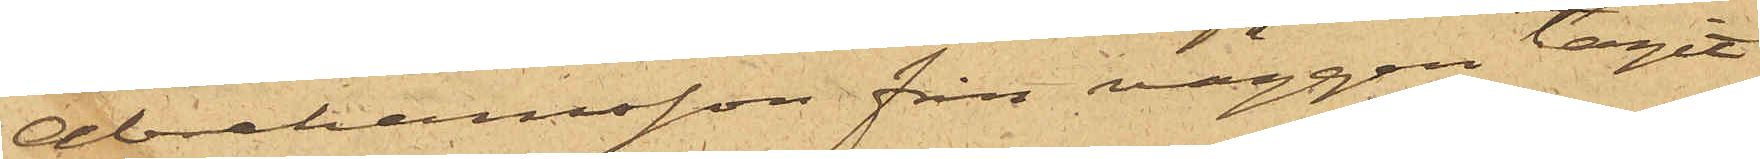Abrahamsson från väggen tagit
